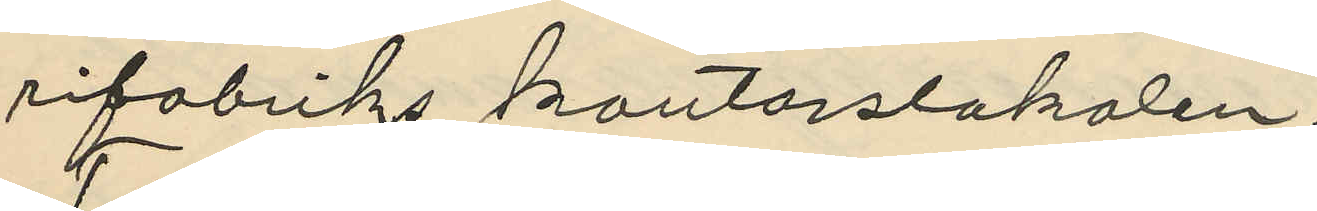rifabriks kontorslokalen.
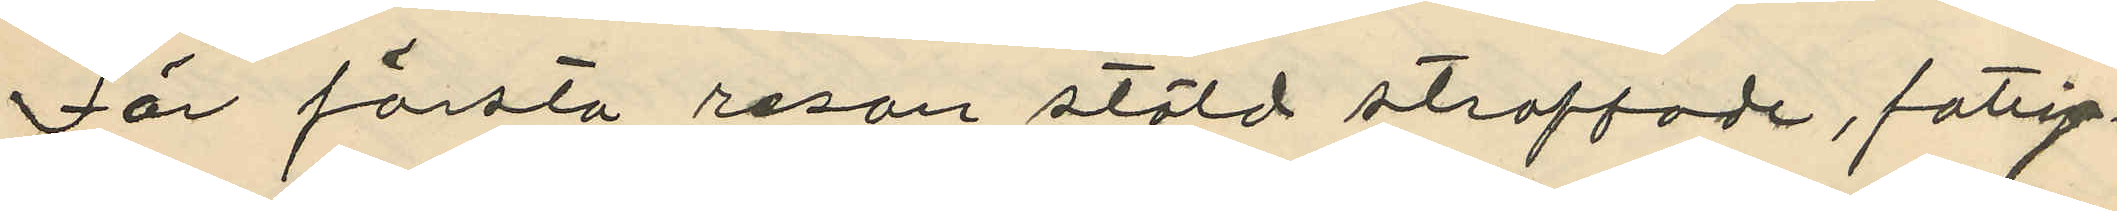För första resan stöld straffade, fattig¬
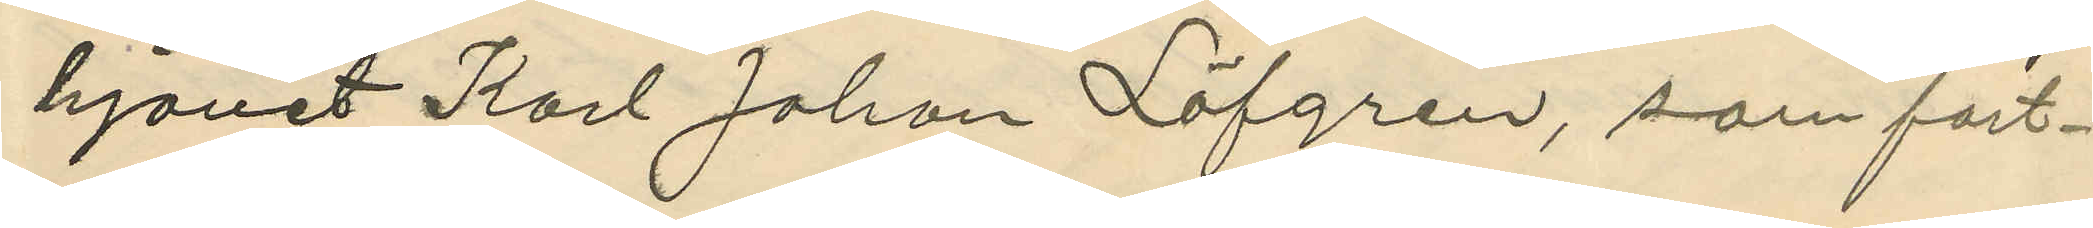hjonet Karl Johan Löfgren, som fort¬
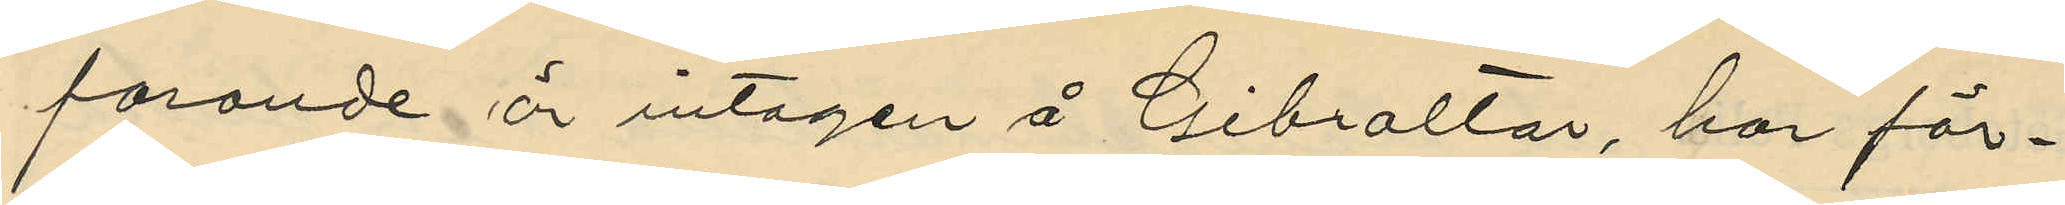farande är intagen å Gibraltar, har för¬
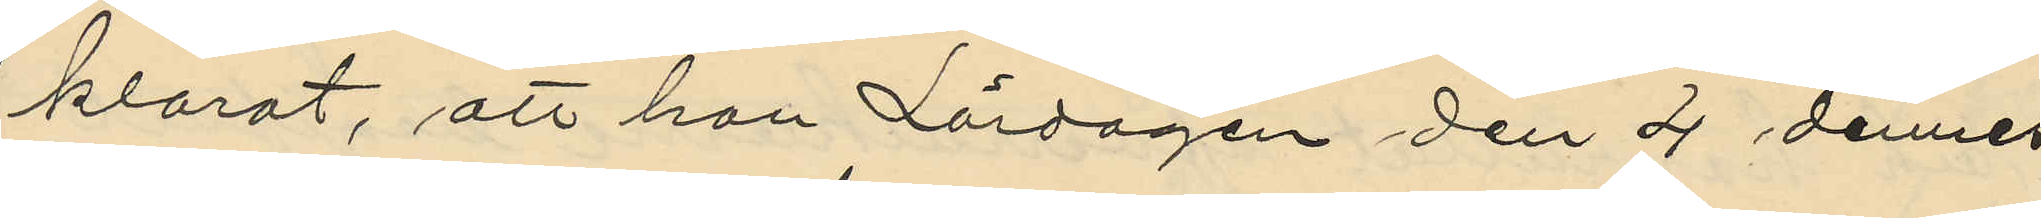klarat, att han Lördagen den 4 dennes
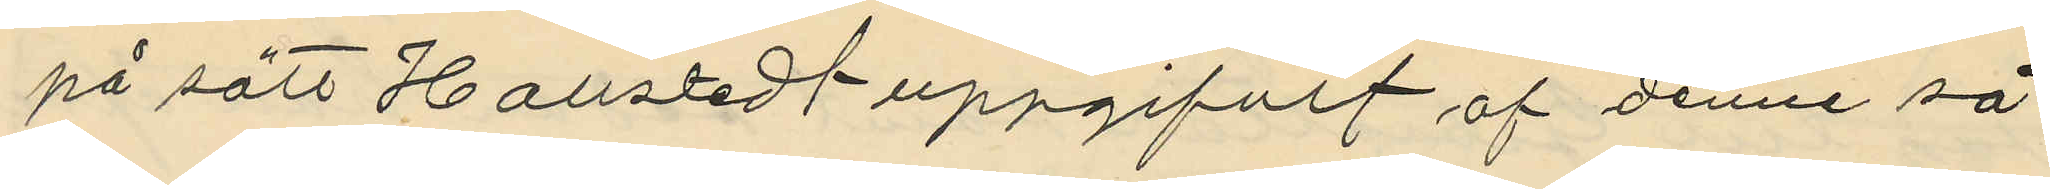på sätt Hallstedt uppgifvit af denne så¬
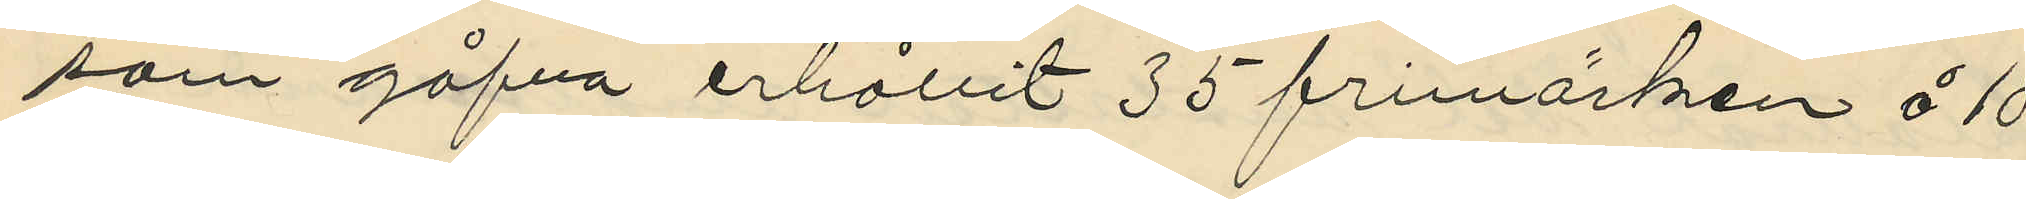som gåfva erhållit 35 frimärken å 10
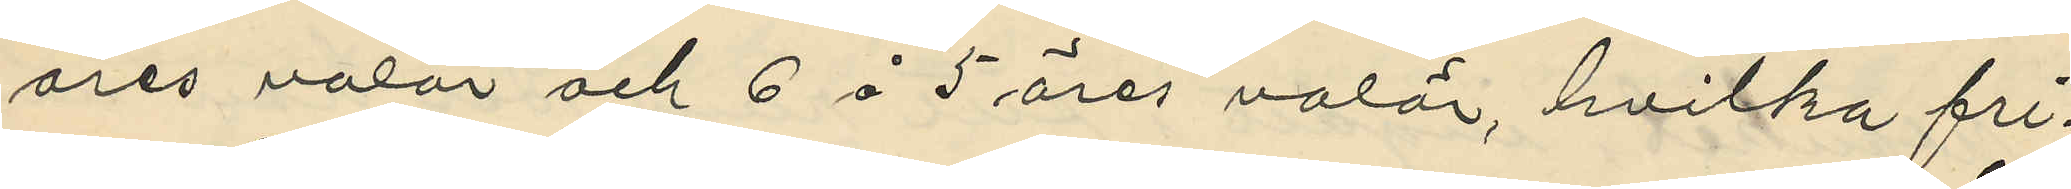öres valör och 6 å 5 öres valör, hvilka fri¬
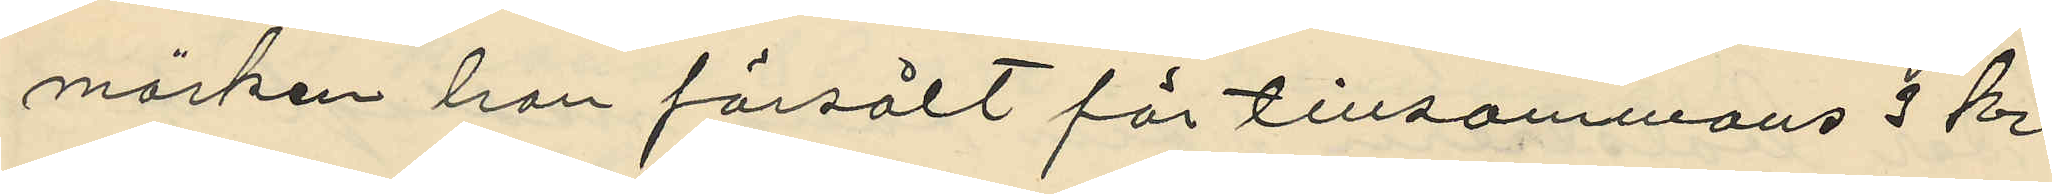märken han försålt för tillsammans 3 kr.
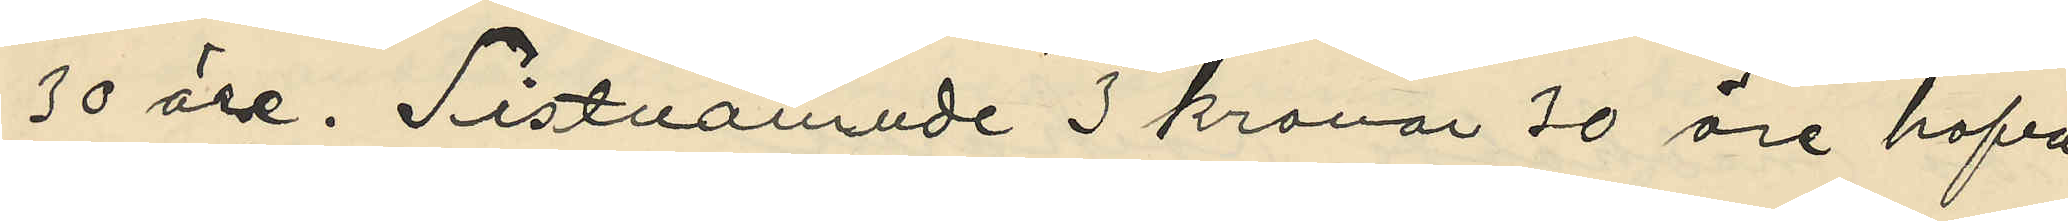30 öre. Sistnämnde 3 kronor 30 öre hafva
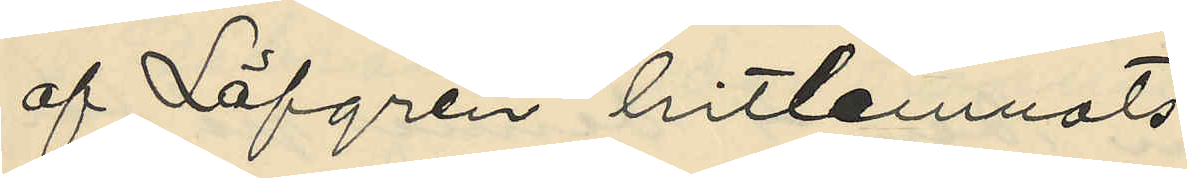af Löfgren hitlemnats;
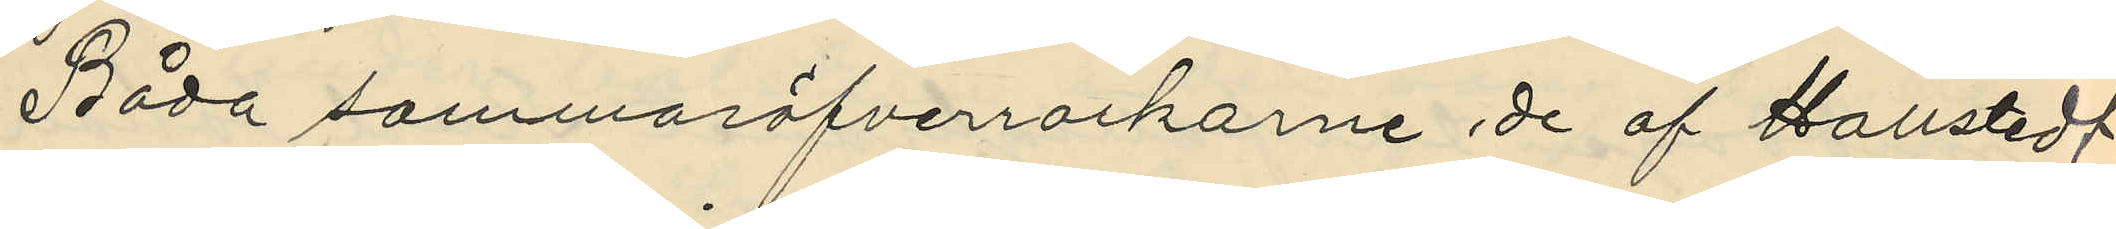Båda sommaröfverrockarne de af Hallstedt
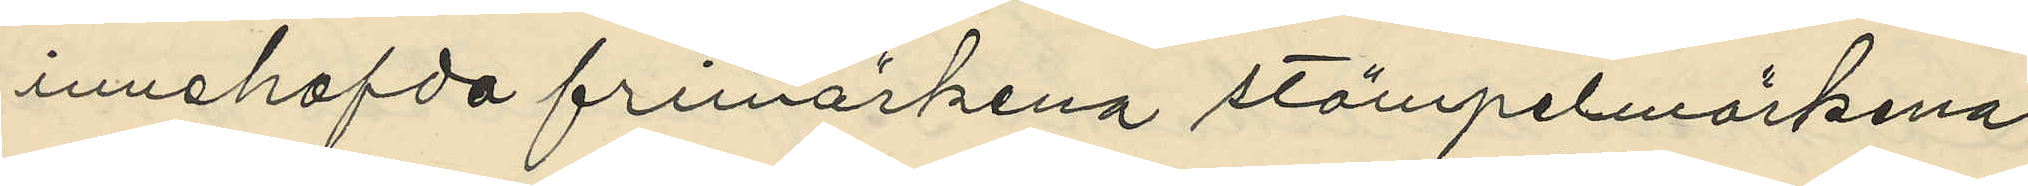innehafda frimärkena stämpelmärkena
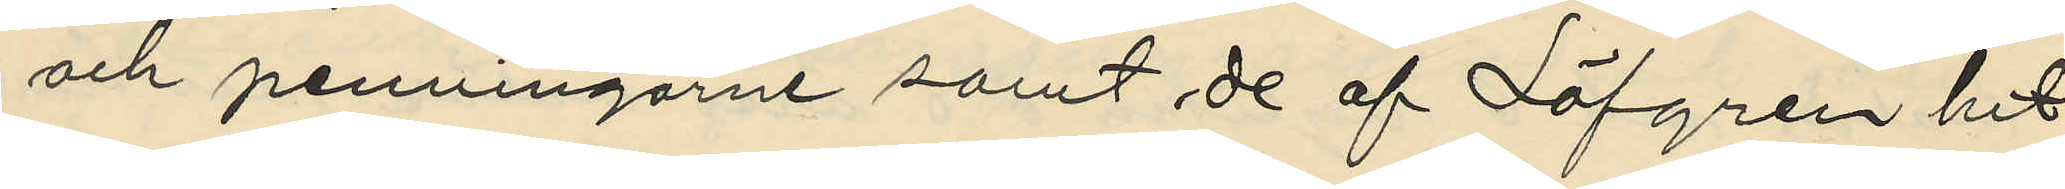och penningarne samt de af Löfgren hit¬
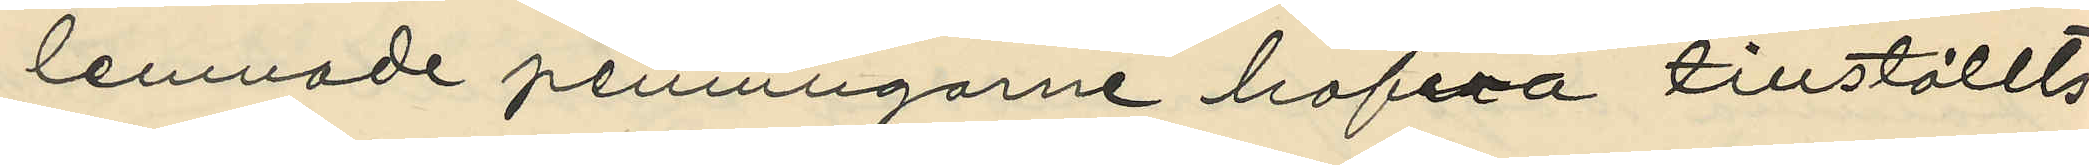lemnade penningarne hafva tillställts
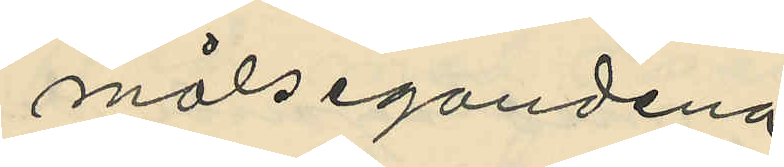målsegandena
